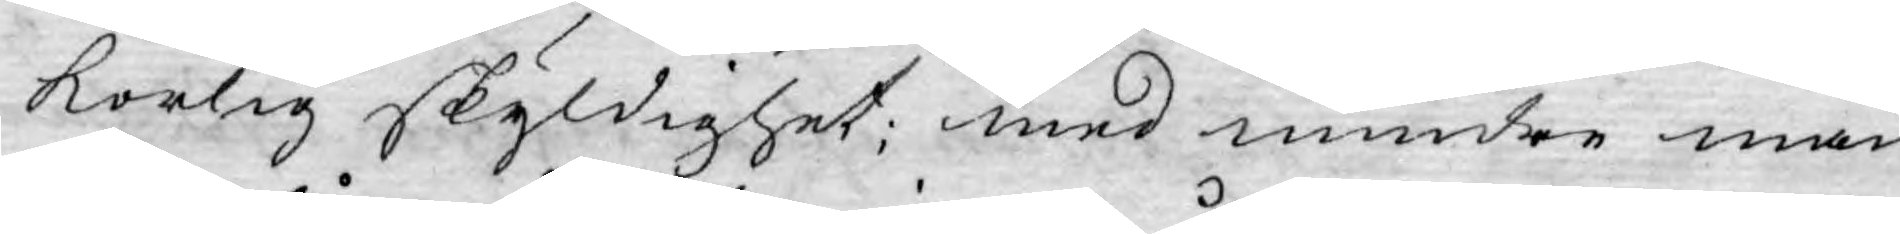korlig skyldighet; med mindre man
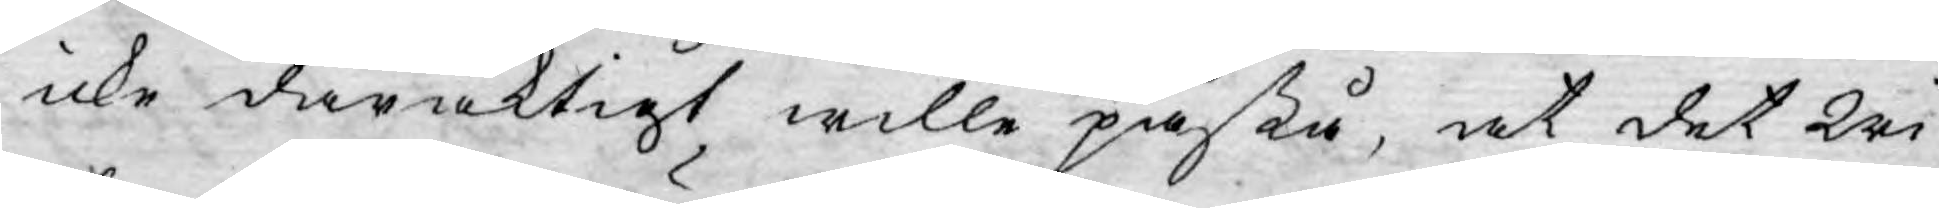icke dåraktigt wille påstå, at det Wi
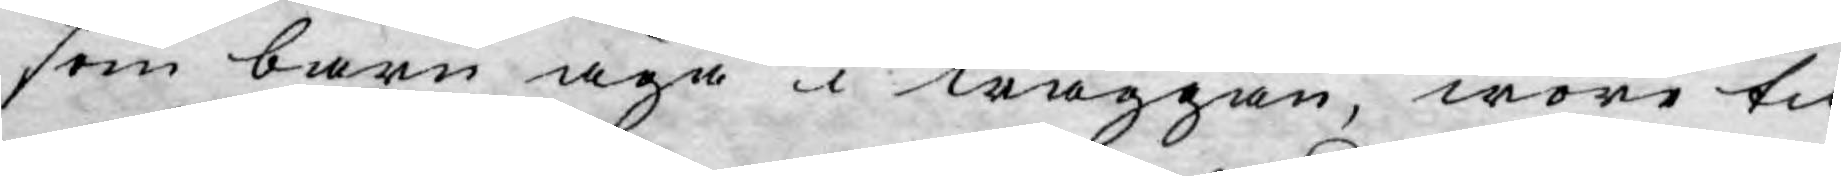som barn äga i waggan, wore til¬
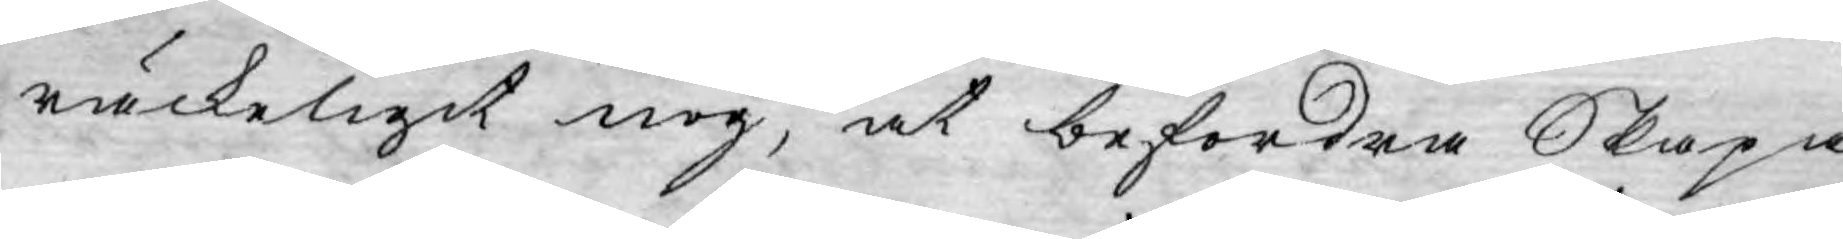räckeligit nog, at befordra Skapa¬
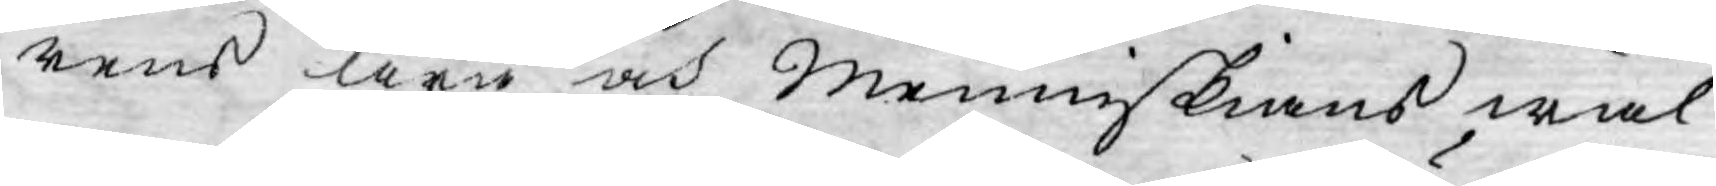rens ära och menniskians wäl.
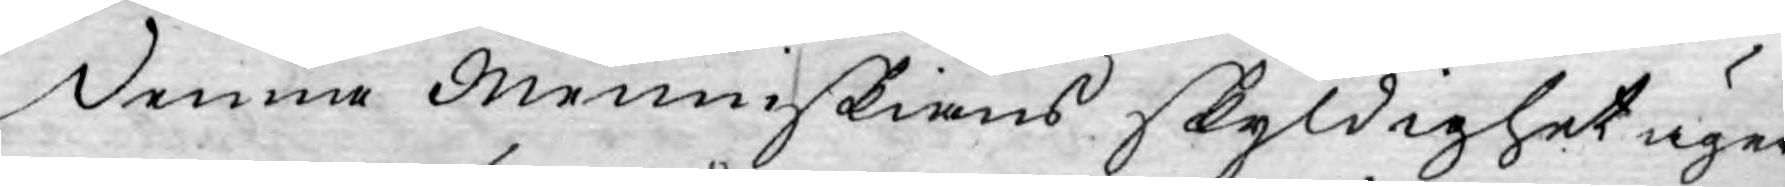Denna Menniskians skyldighet äger
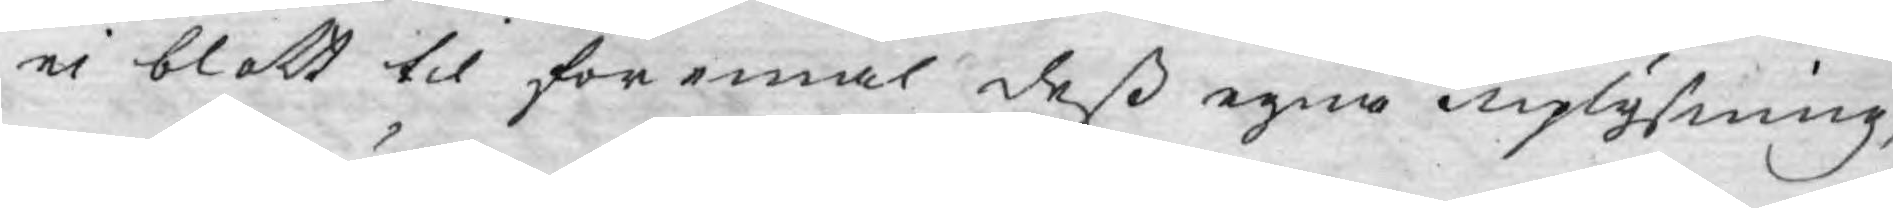ei blott til föremål dess egna uplysning,
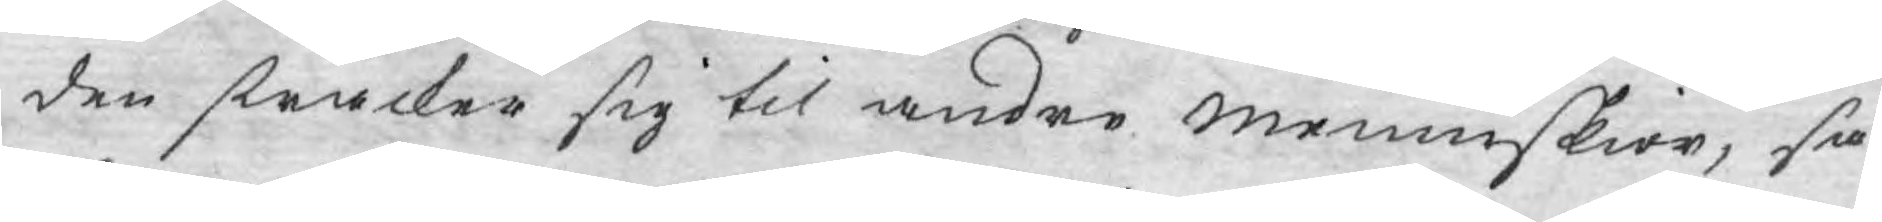den sträcker sig til andre menniskior, så¬
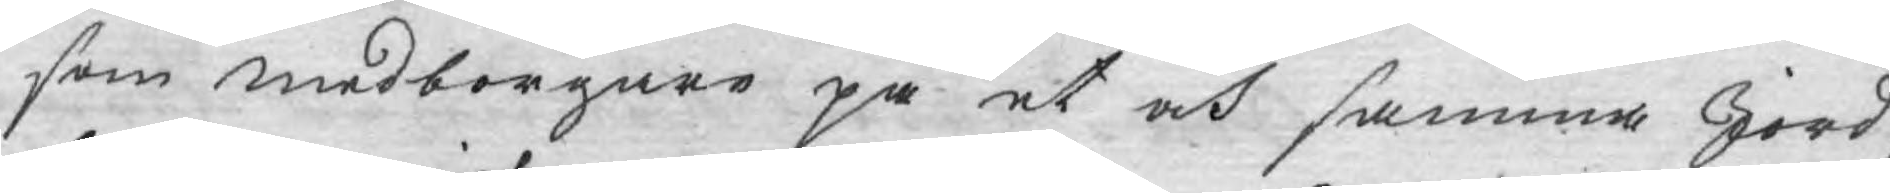som medborgare på et och samma Jord¬
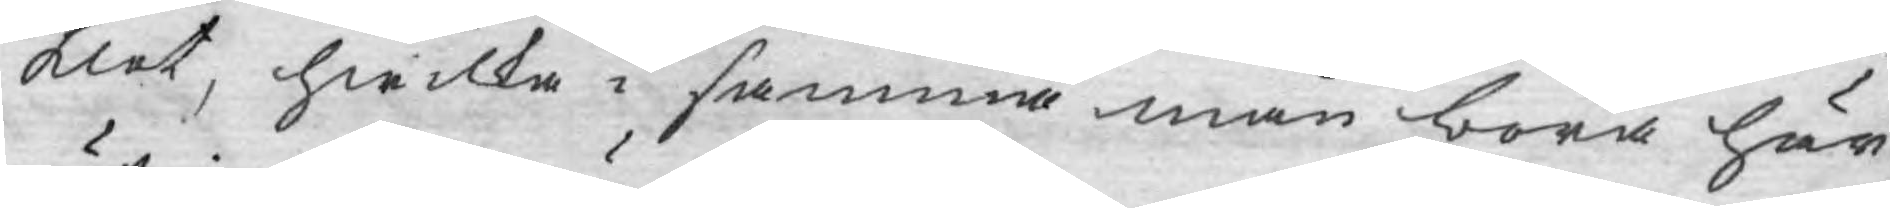klot, hwilka i samma mån böra här¬
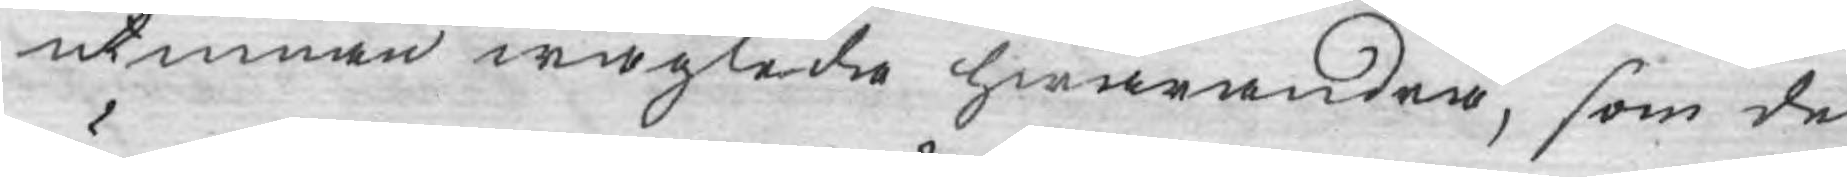utinnan wäglede hwarandra, som de
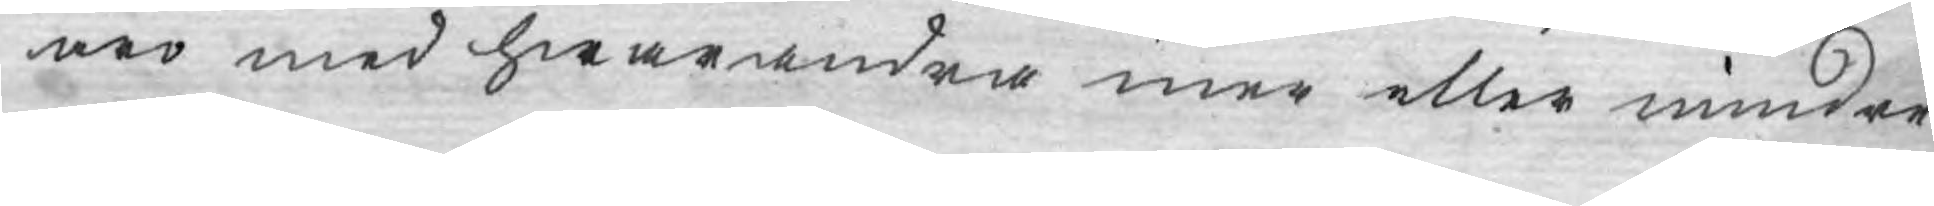äro med hwarandra mer eller mindre
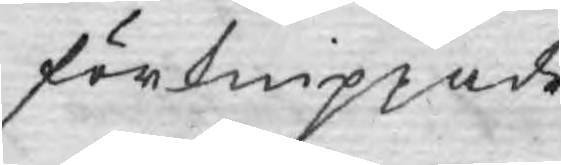förknippade.
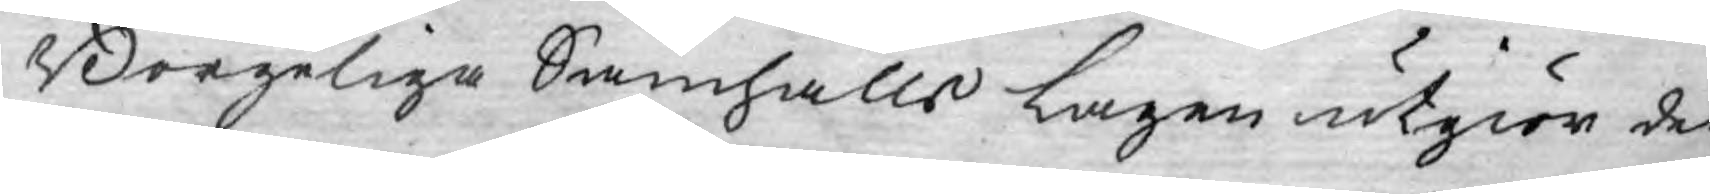Borgeliga Samhälls Lagen utgiör det
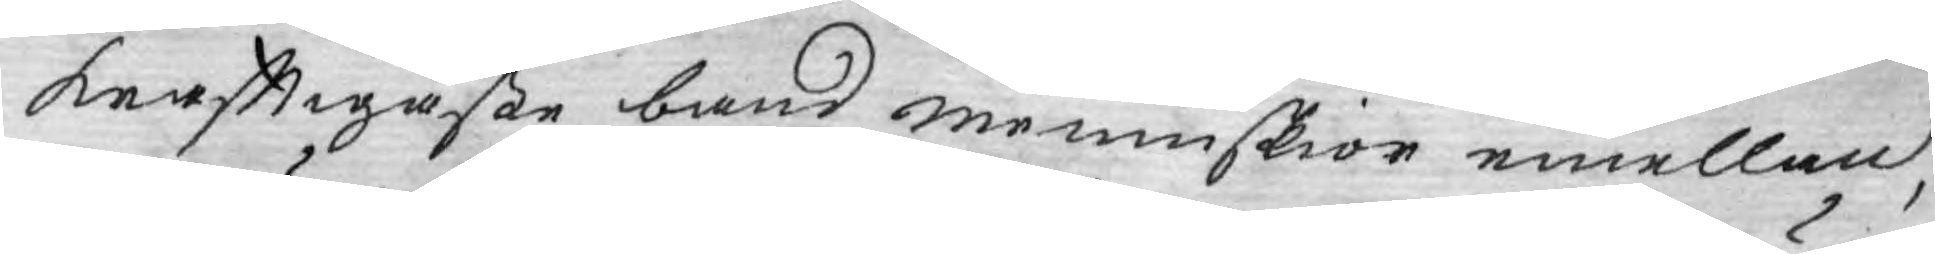krafftigaste band mennnskior emellan,
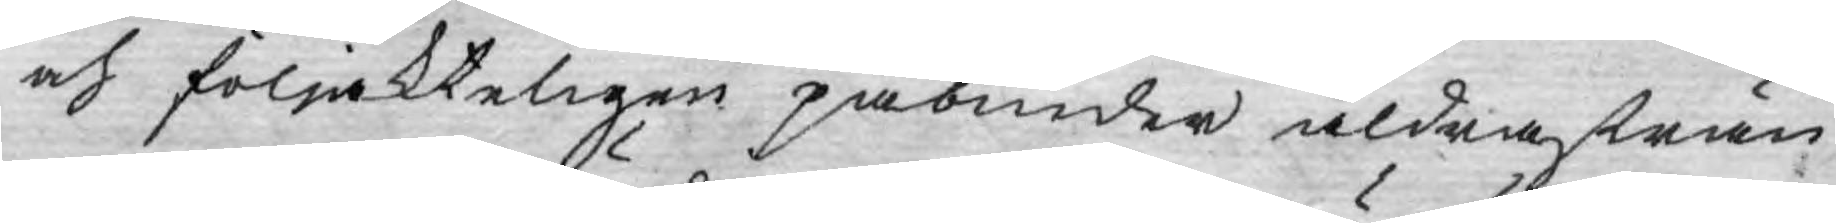och följakteligen påbiuder aldra strän¬
